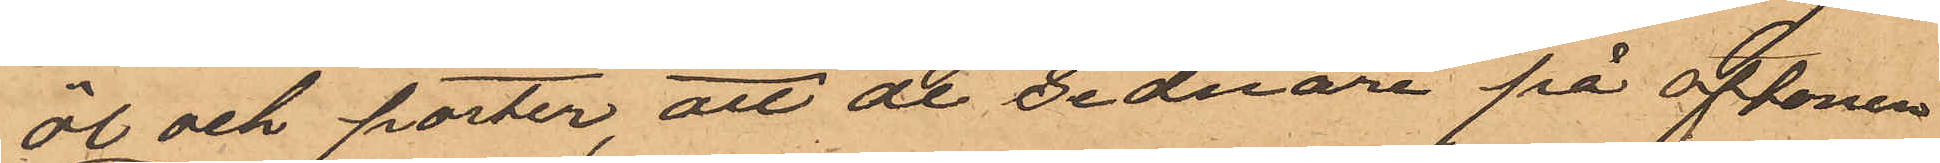öl och porter, att de sednare på aftonen
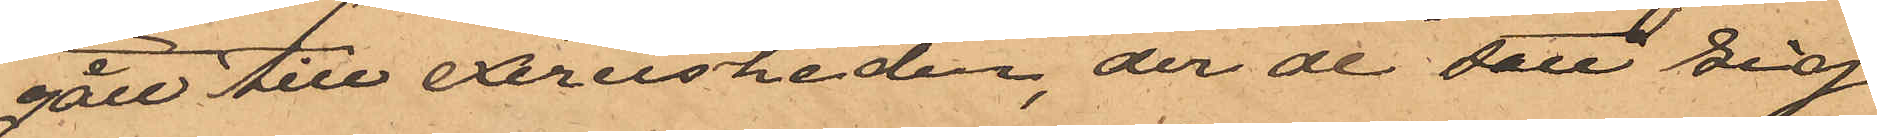gått till Exercisheden, der de satt sig
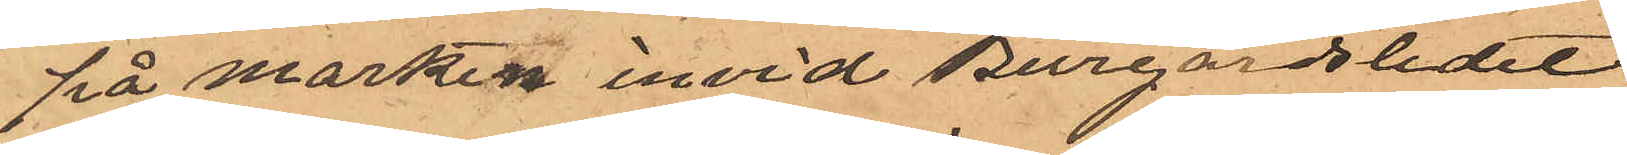på marken invid Burgårdsledet;
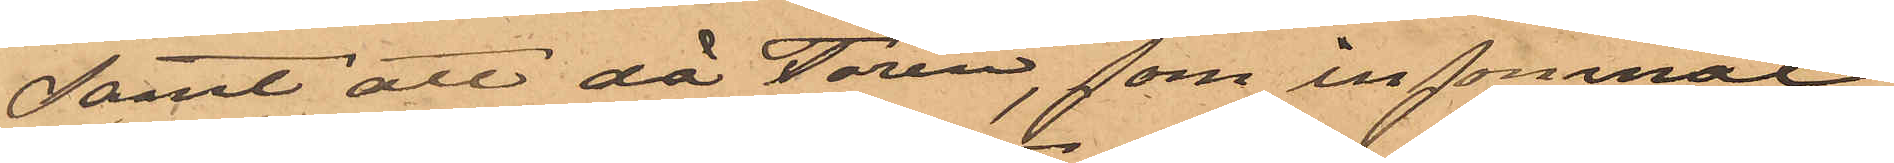samt att då Torin, som insomnat
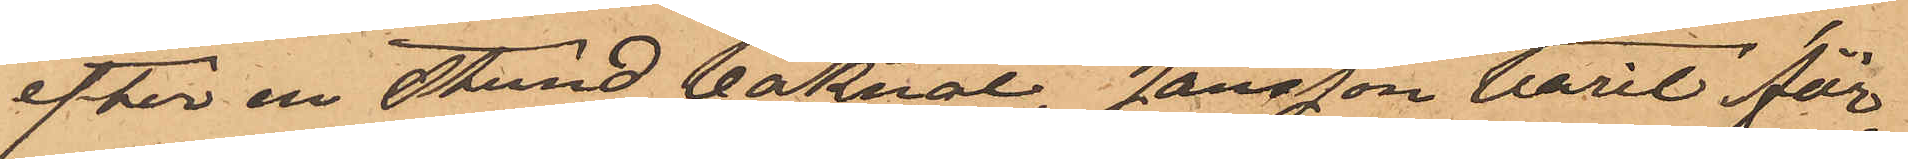efter en stund vaknat, Jansson varit för¬
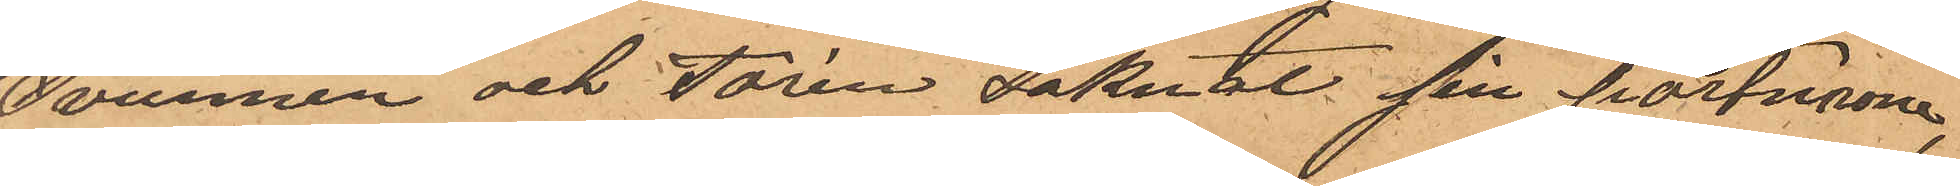svunnen och Torin saknat sin portmonie,,
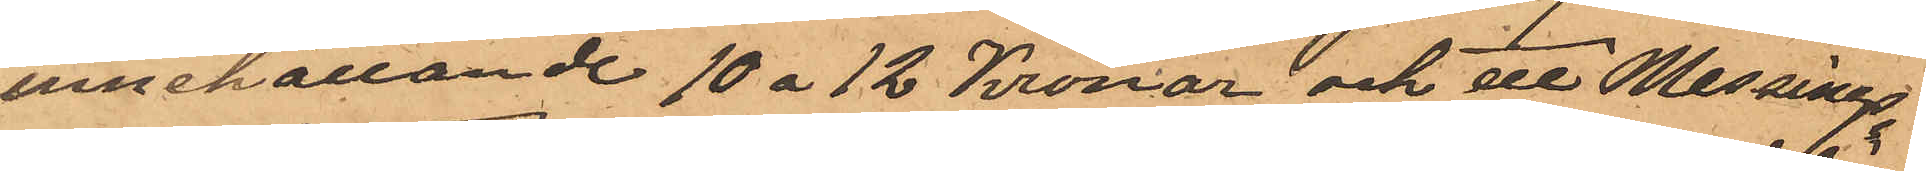innehållande 10 à 12 Kronor och ett Messings¬
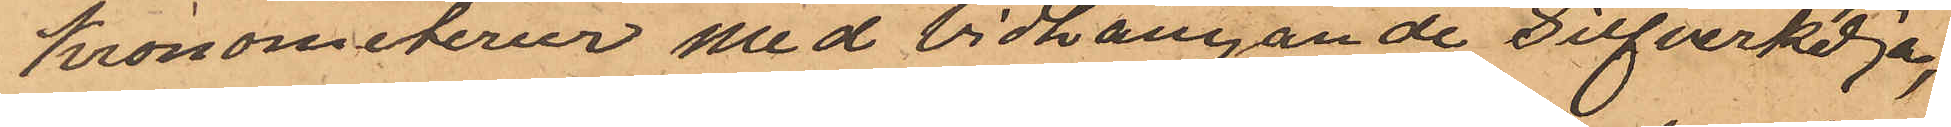kronometerur med vidhängande Silfverkedja,
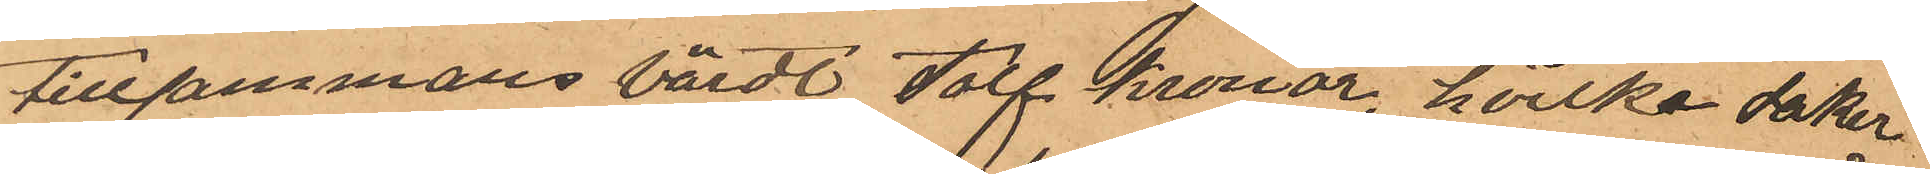tillsammans värdt tolf Kronor, hvilka saker
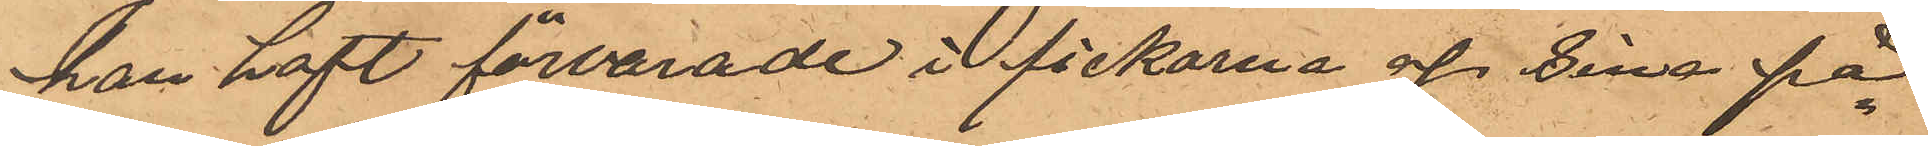han haft förvarade i fickorna af sina på¬
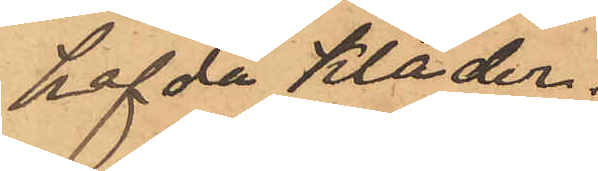hafda kläder.
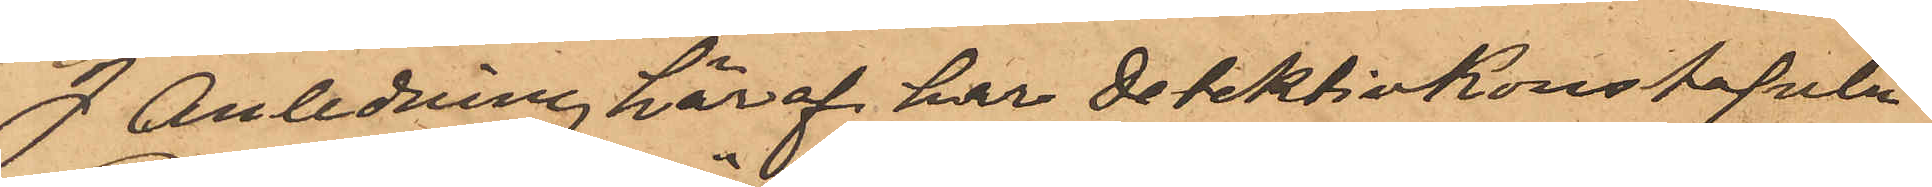I anledning häraf har detektivkonstapeln
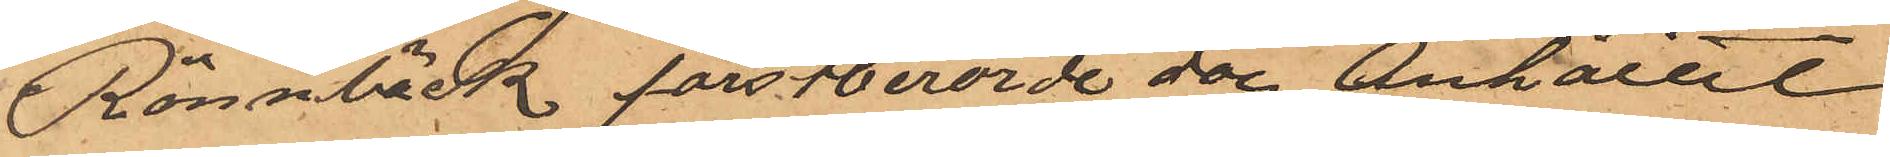Rönnbäck förstberörde dag anhållit
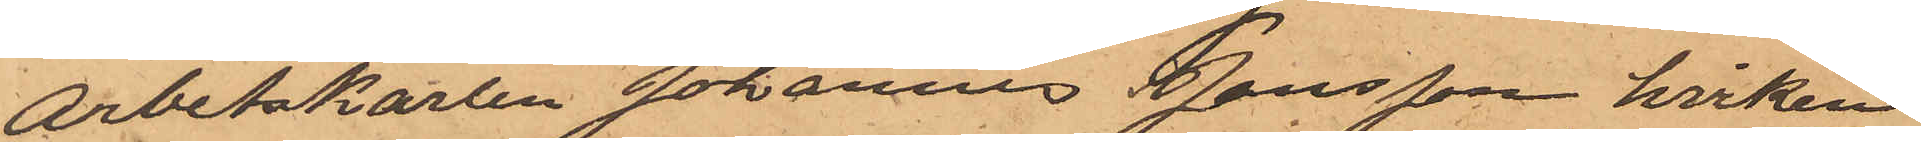arbetskarlen Johannes Jansson hviken
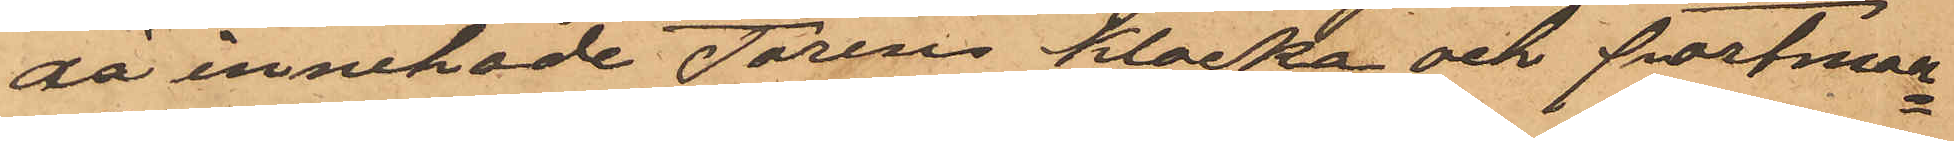då innehade Torens klocka och Portmon¬
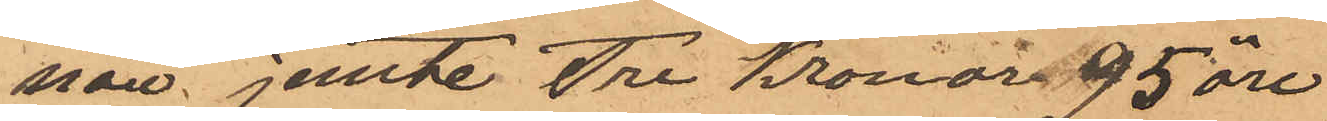näie jemte Tre Kronor 95 öre
